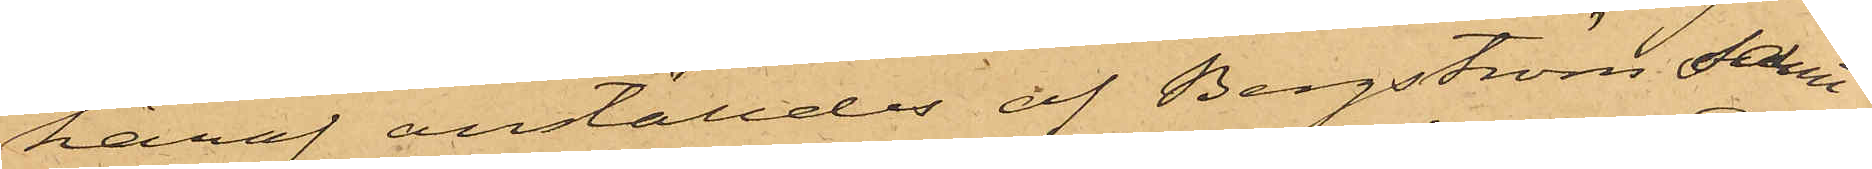häraf anställdes af Bergström samt
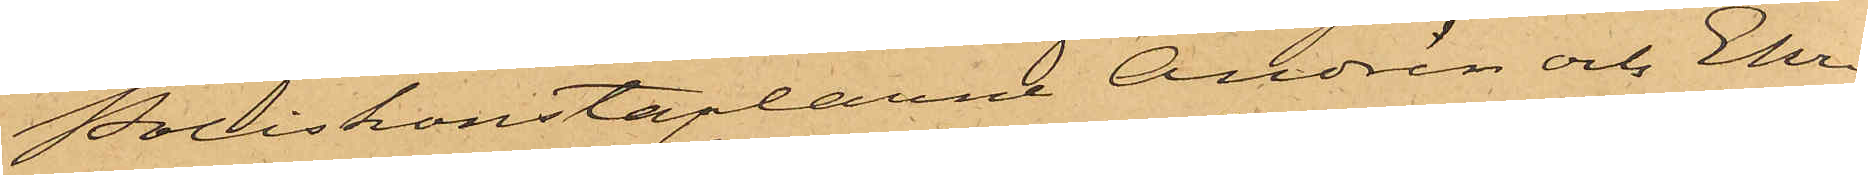Poliskonstaplarne Andrén och Ehri¬
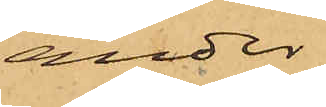ander
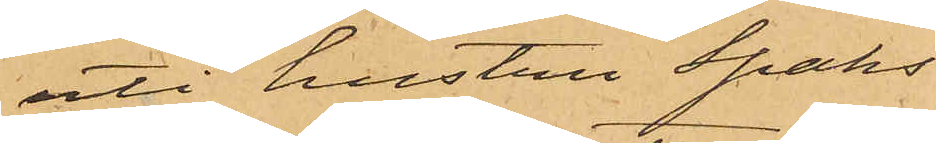uti hustru Spaks
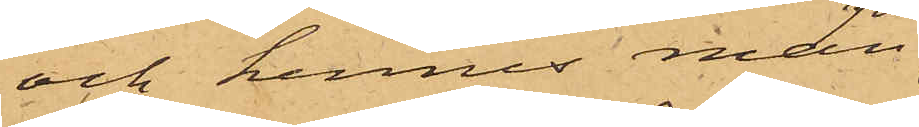och hennes man
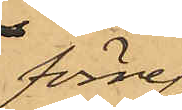förre
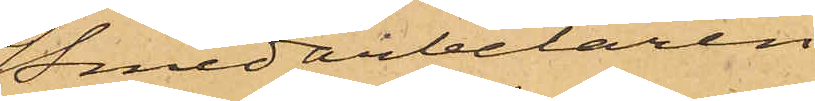Smedarbetaren
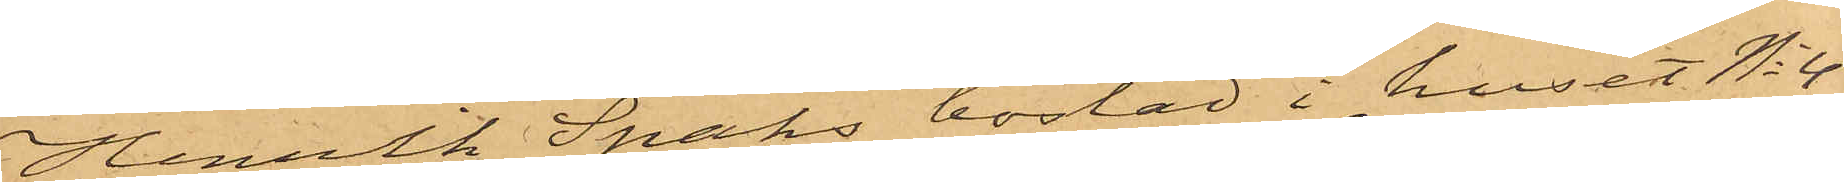Henrik Spaks bostad i huset No 4
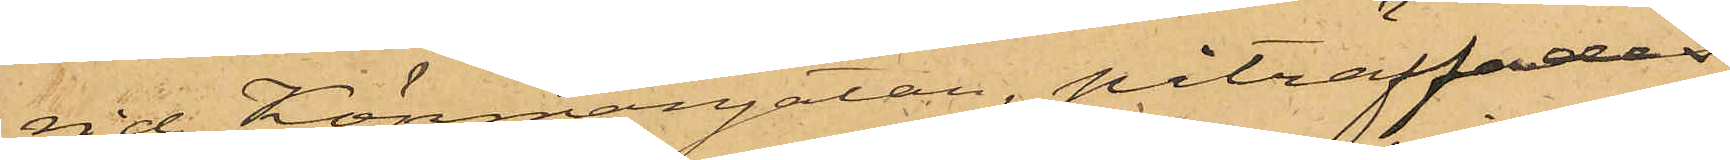vid Köpmangatan, påträffades
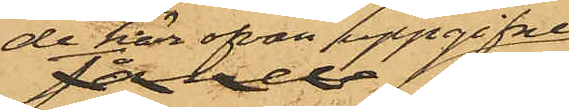de här ofvan uppgifne
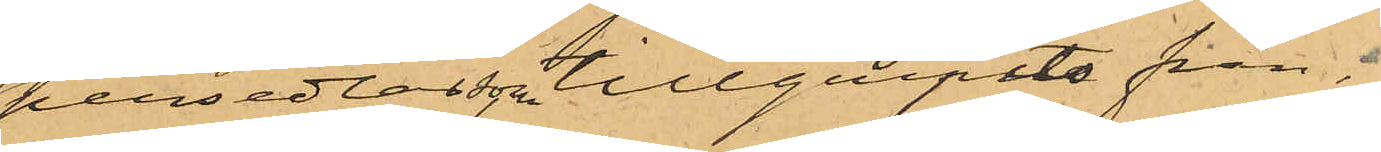persedlar, som tillgripits från,
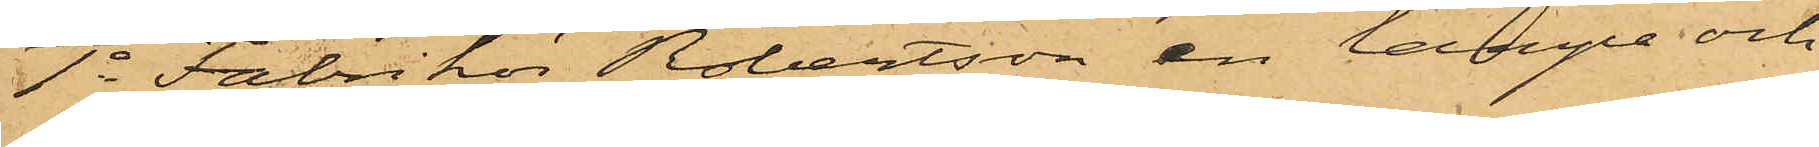1o Fabrikör Robertson en lampa och
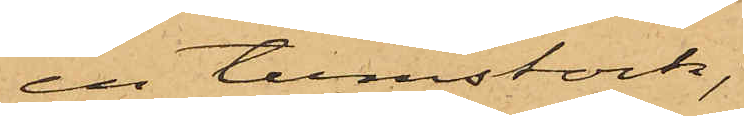en tumstock,
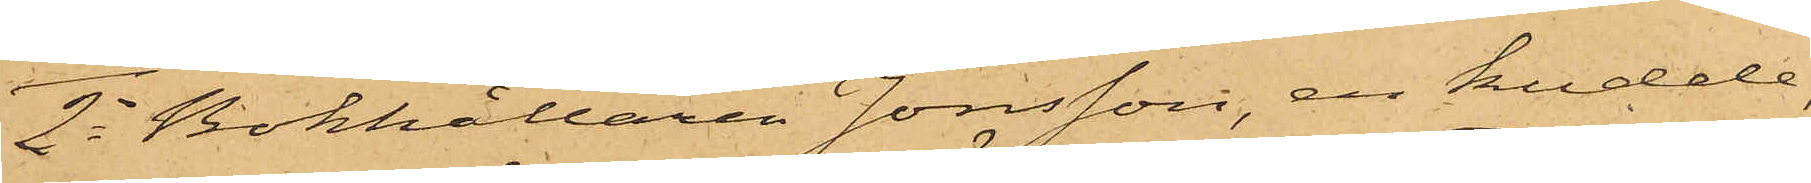2o Bokhållaren Jonsson, en kudde,
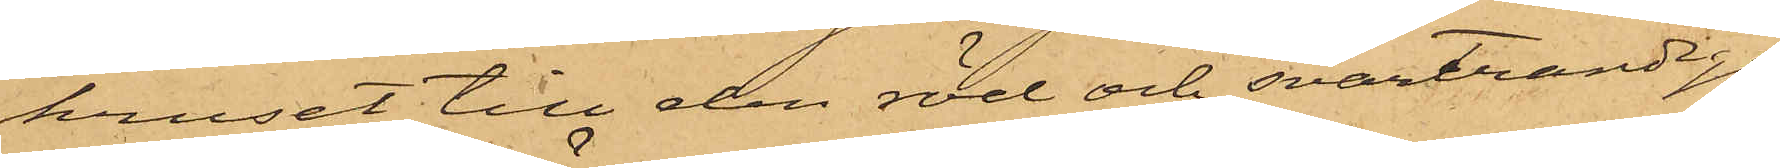kruset till den röd och svartrandiga
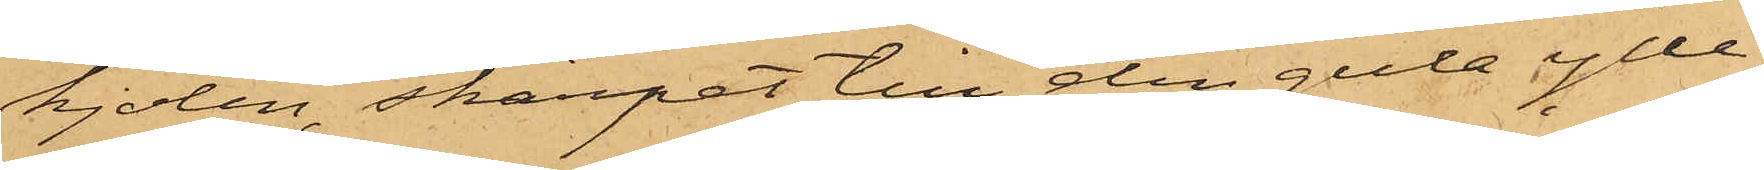kjolen, skärpet till den gula ylle¬
